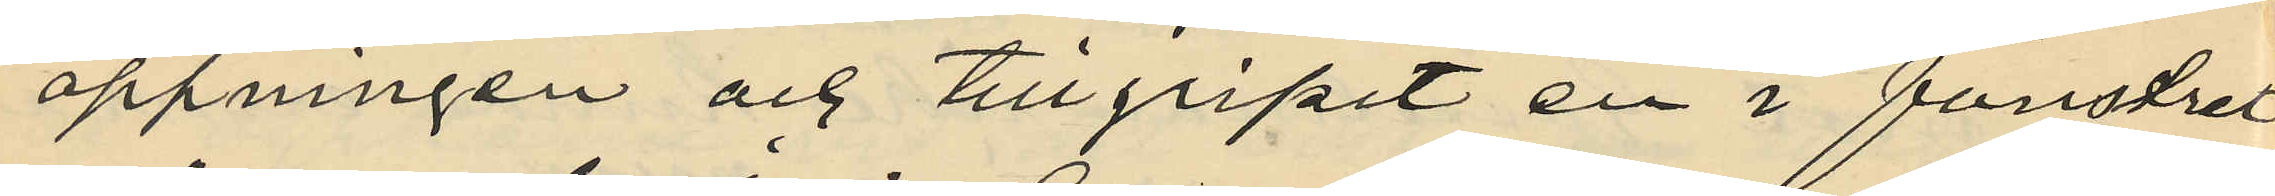öppningen och tillgripit en i fönstret
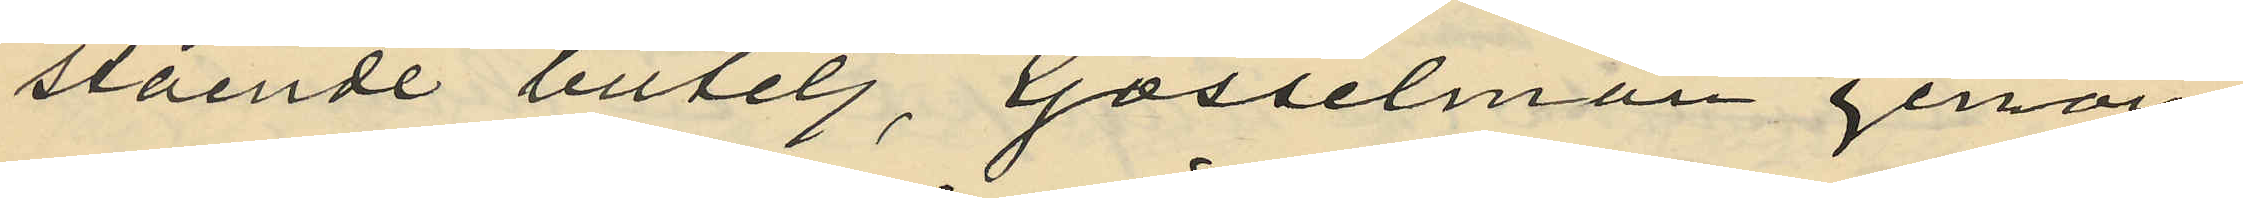stående butelj, Gosselman genom
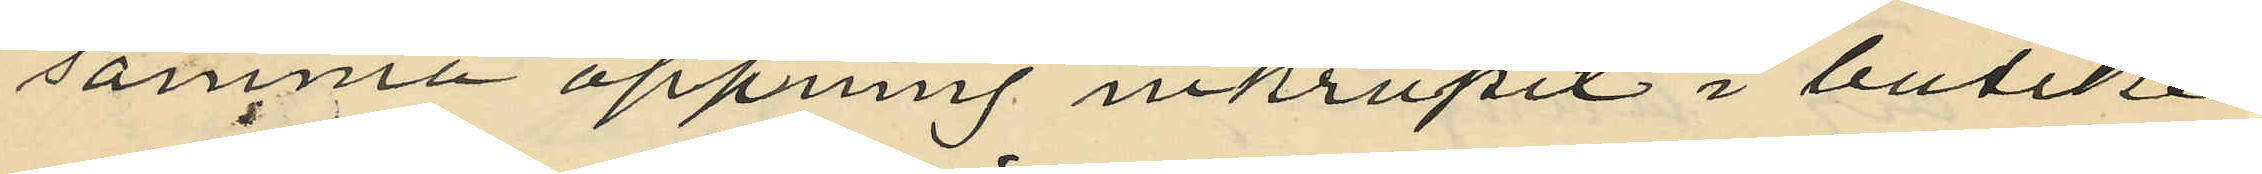samma öppning inkrupit i butiken
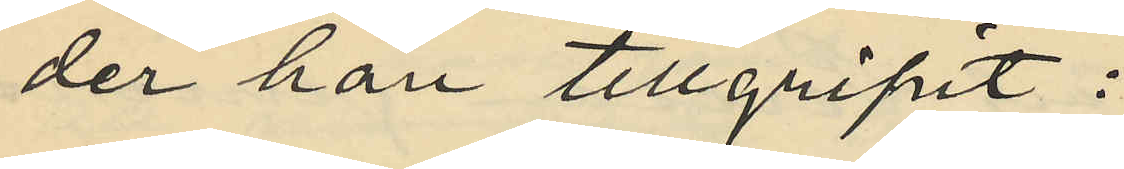der han tillgripit:
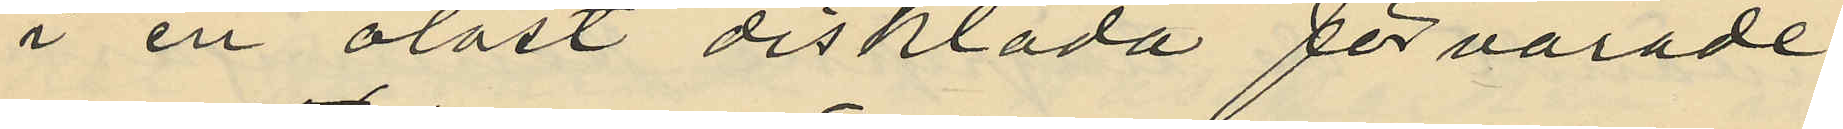i en olåst disklåda förvarade
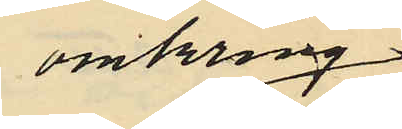omkring
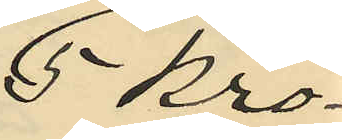5 kro¬
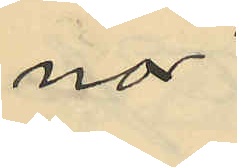nor
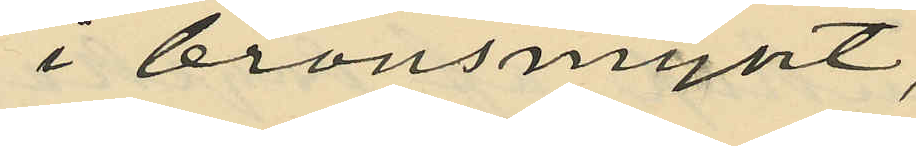i bronsmynt,
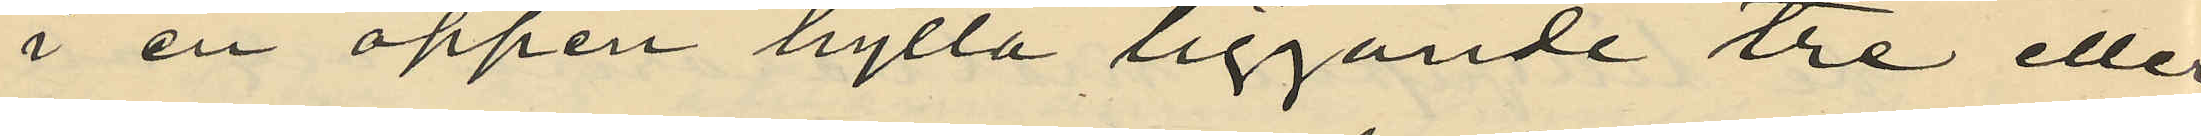i en öppen hylla liggande tre eller
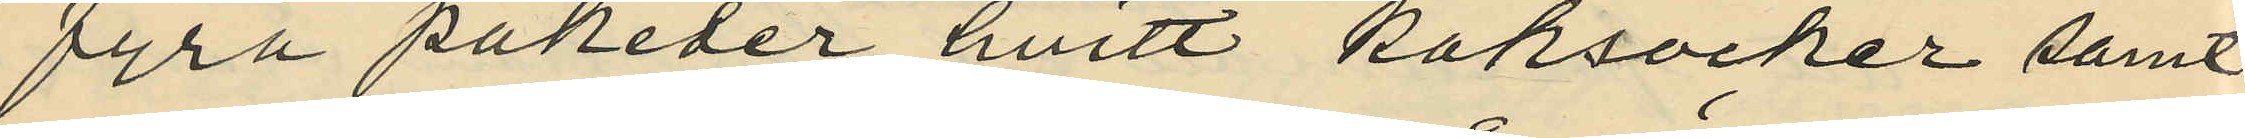fyra paketer hvitt kaksocker samt
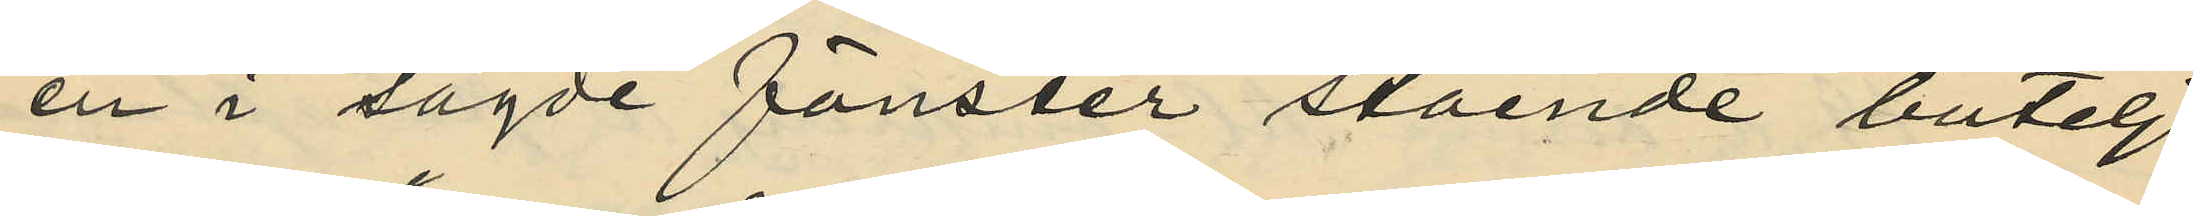en i sagde fönster stående butelj
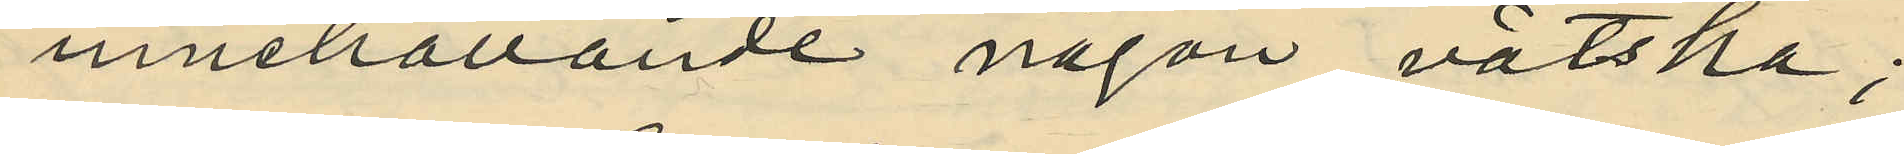innehållande någon vätska;
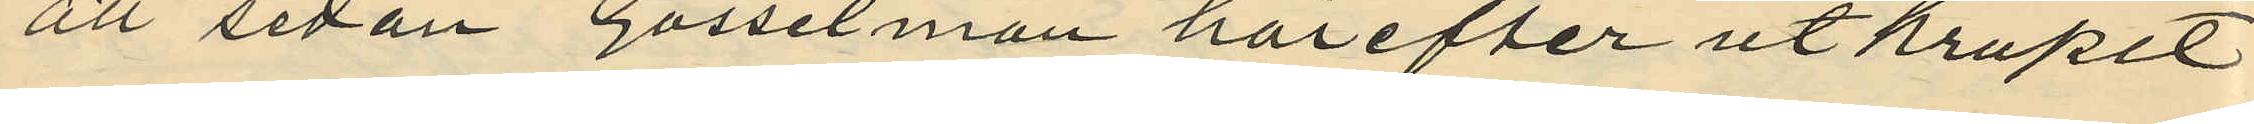att sedan Gosselman härefter utkrupit
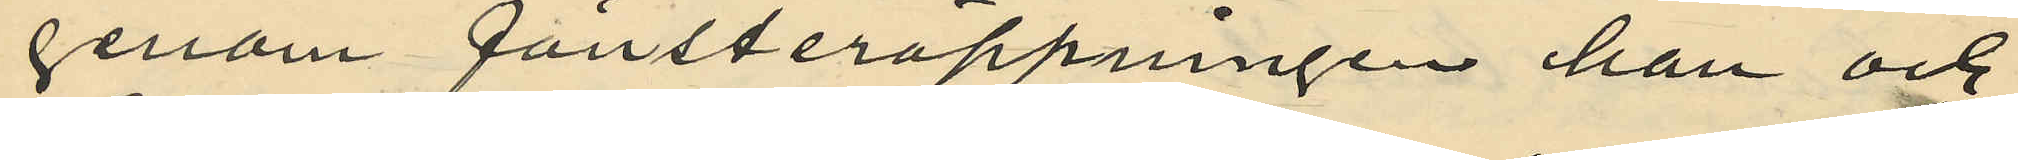genom fönsteröppningen han och
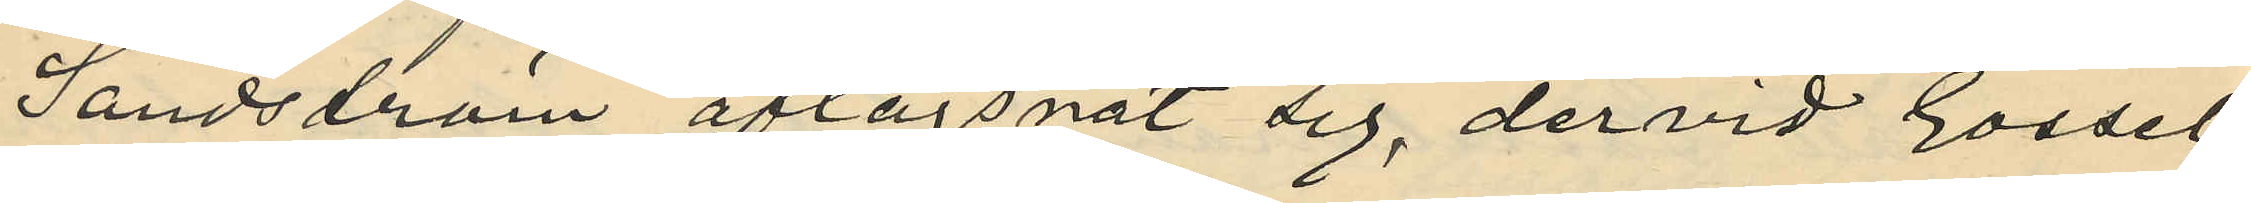Sandström aflägsnat sig, dervid Gossel¬
